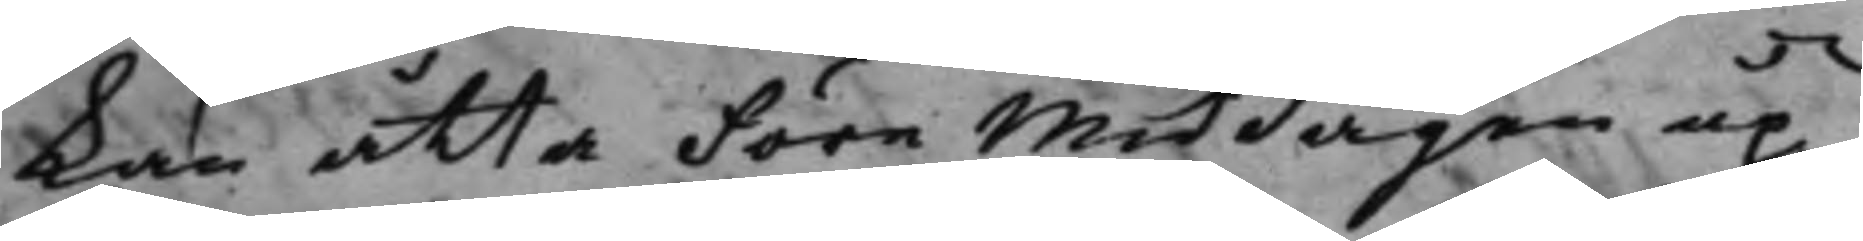kan åtta före middagen up¬
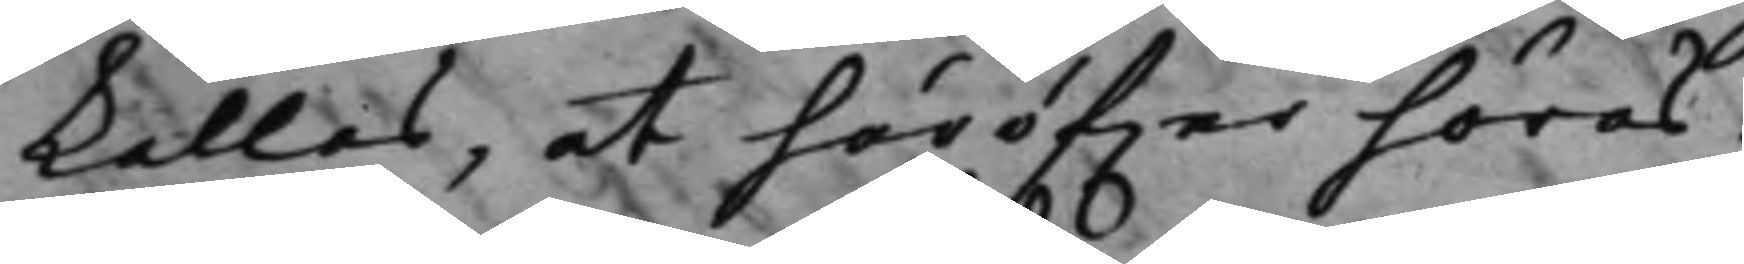kallas, at häröfwer höras.
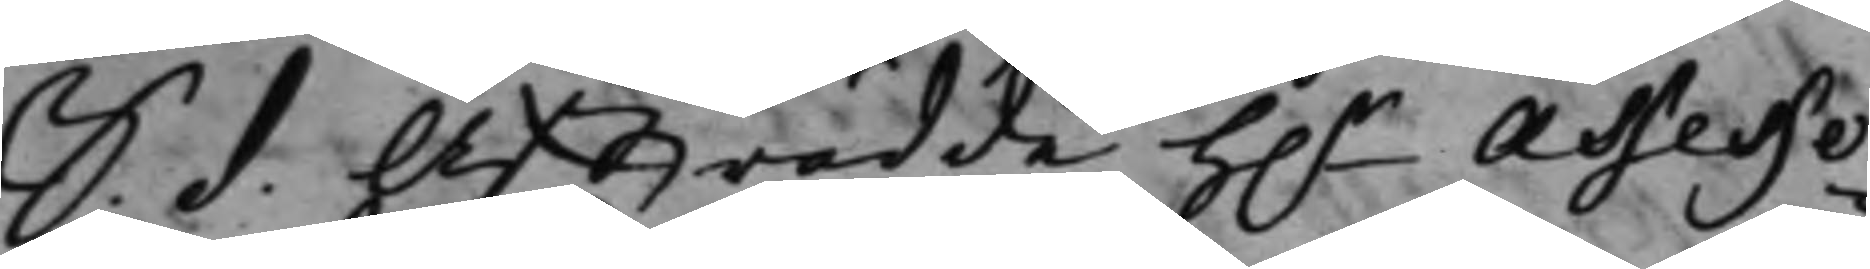S. d. Afträdde h.r Assesso¬
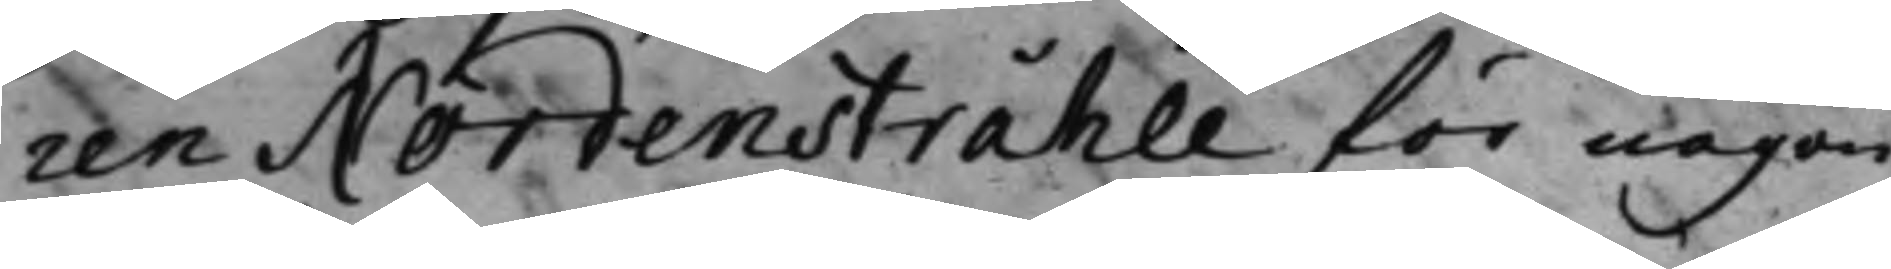ren Nordenstråhle för någon
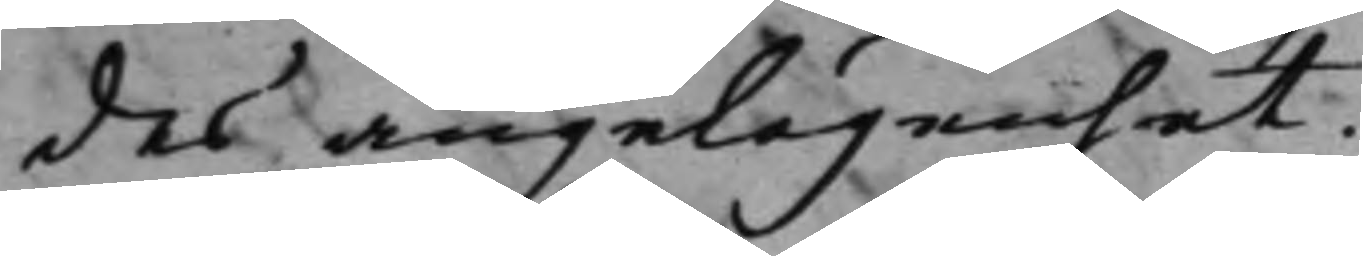des angelägenhet.
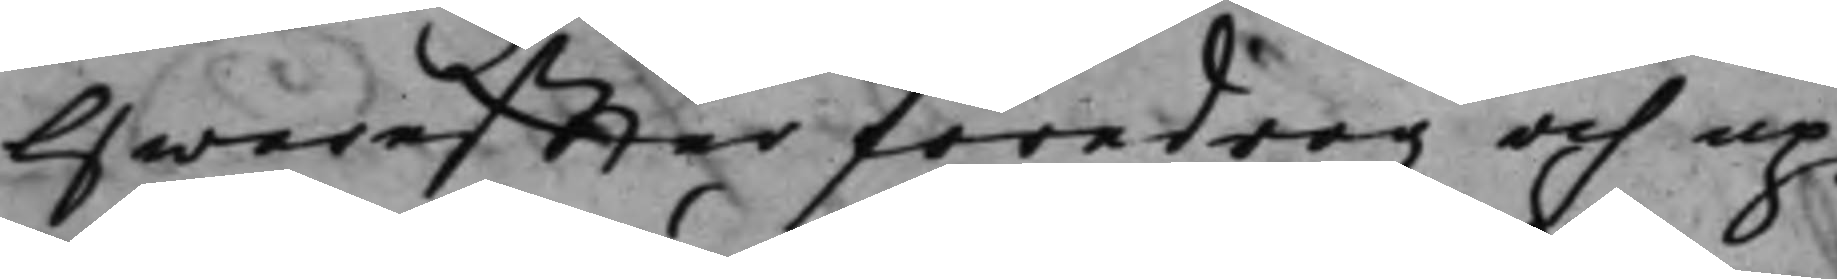Hwareffter föredrogz och up¬
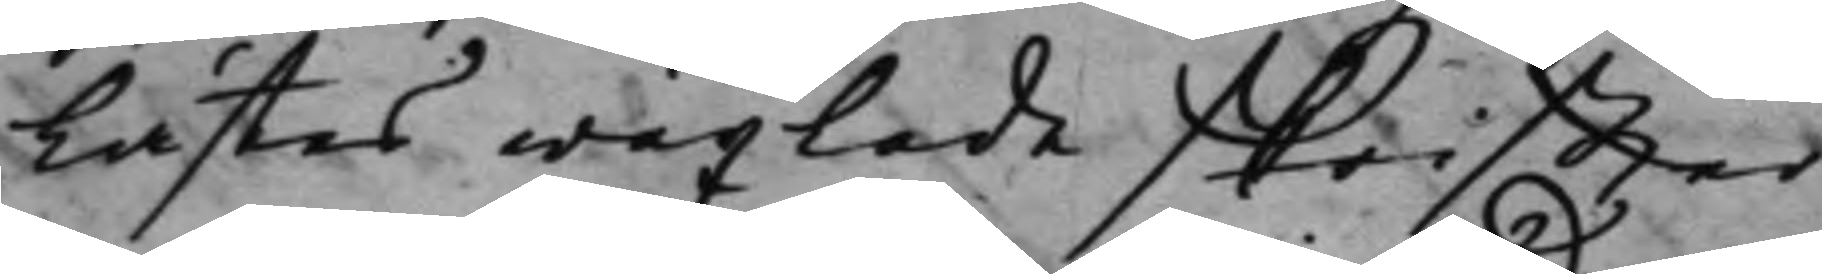lästes wäxlade skriffter
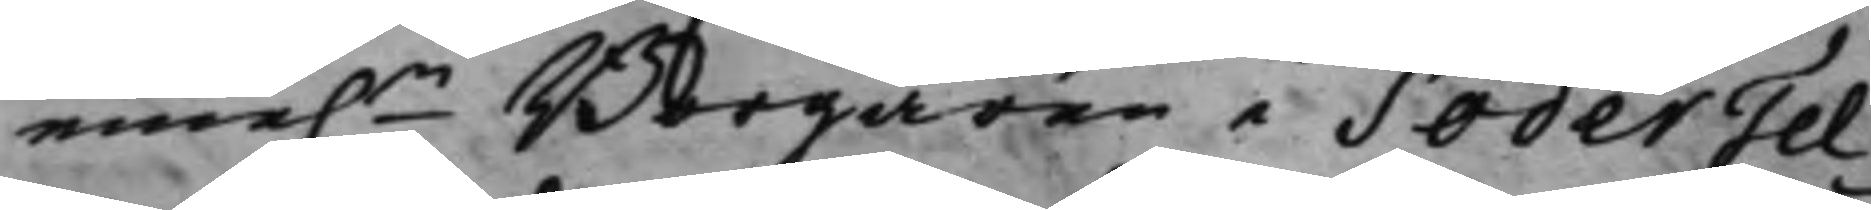eme.n Borgaren i SöderTel¬
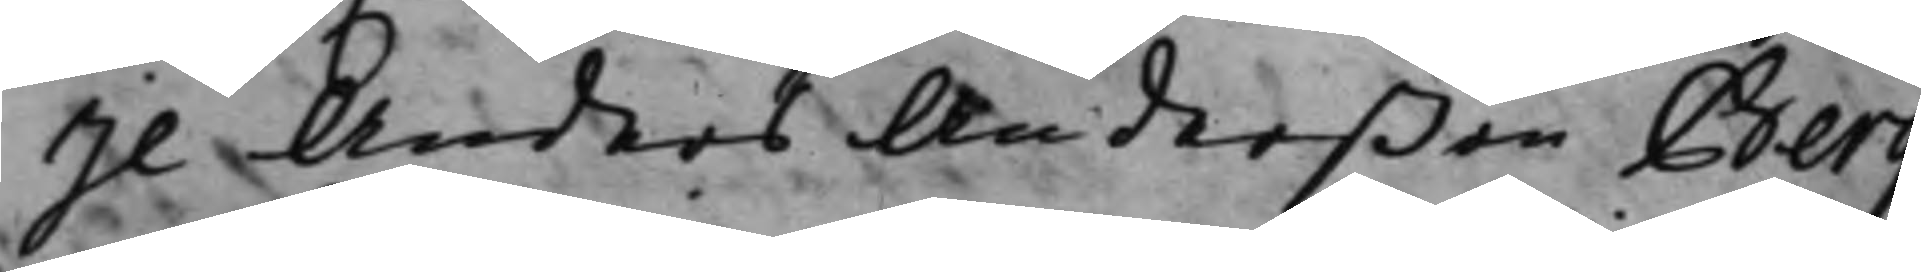je Anders Anderßon Berg
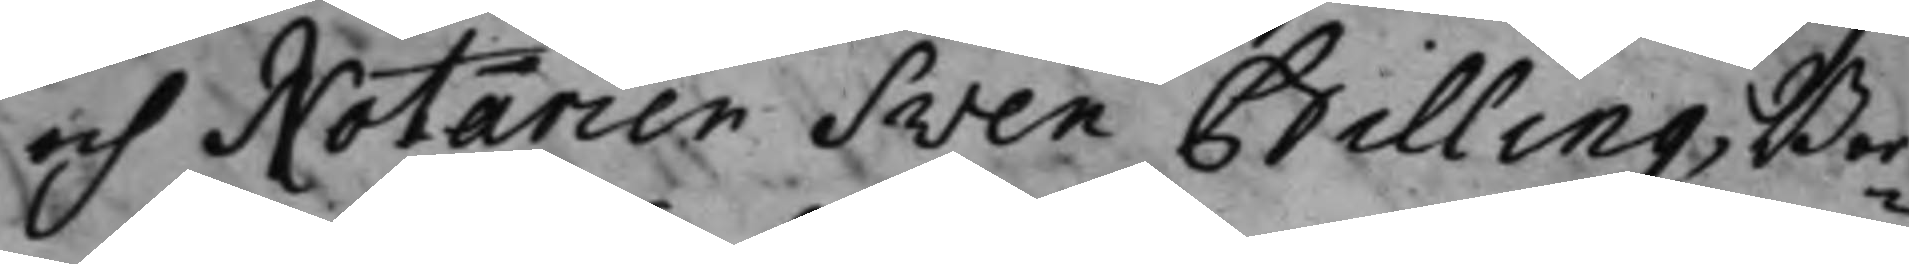och Notarien Sven Billing, Bor¬
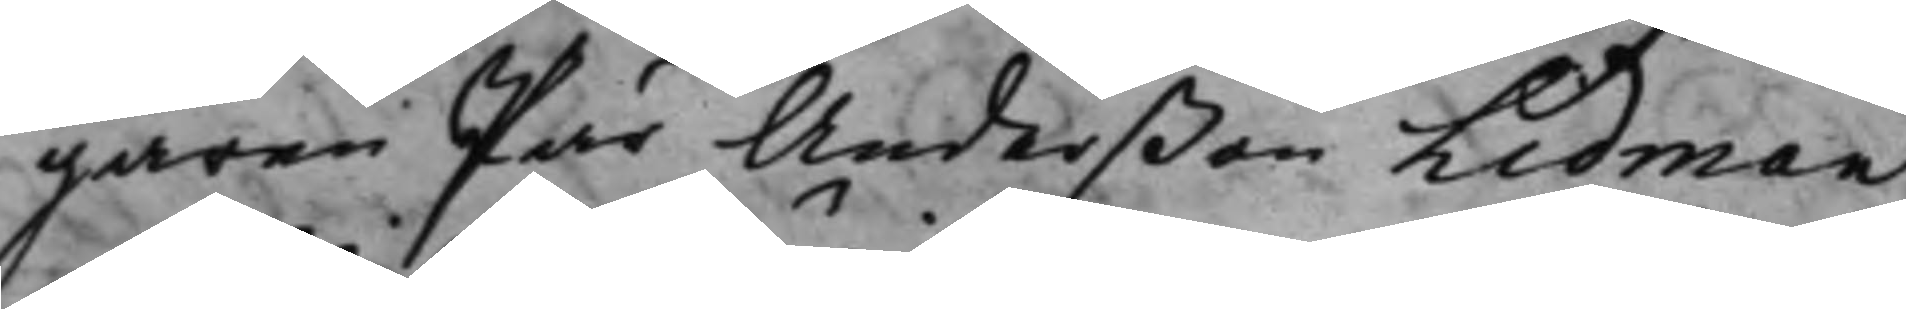garen Pär Anderßon Lidman
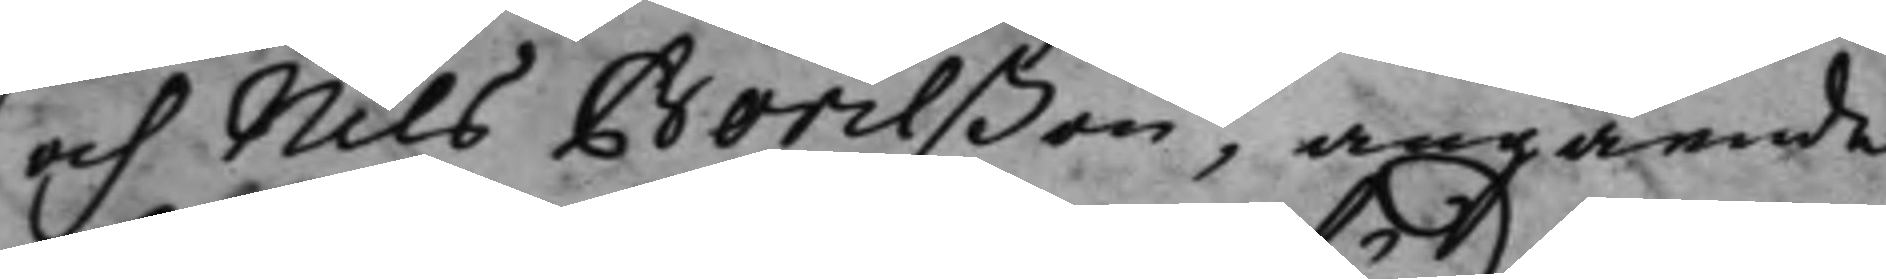och Nils Börilßon, angående
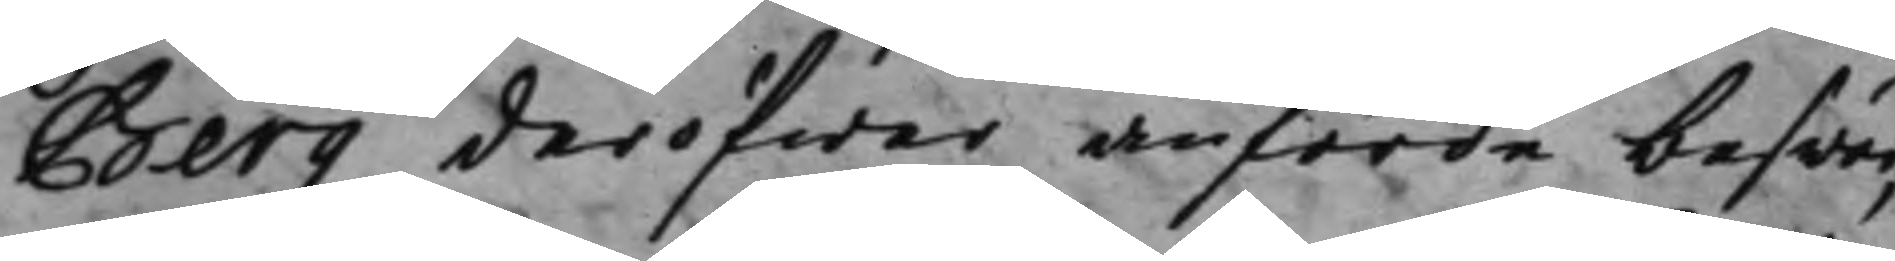Bergz deröfwer anförde beswär,
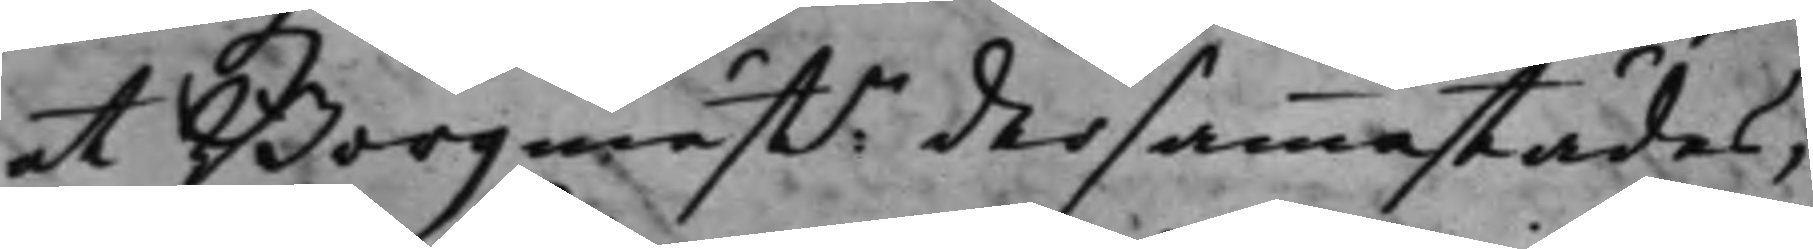at Borgmästn dersammastädes,
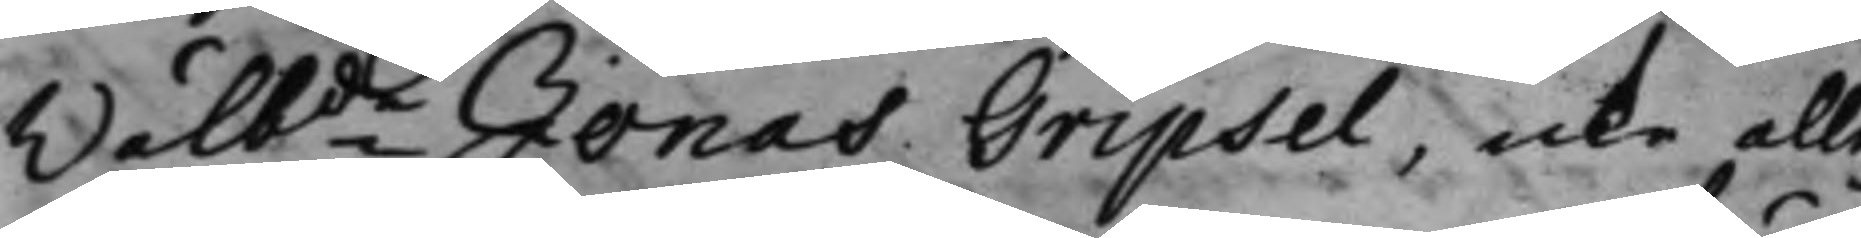Wälbde Jonas Gripsel, icke alle¬
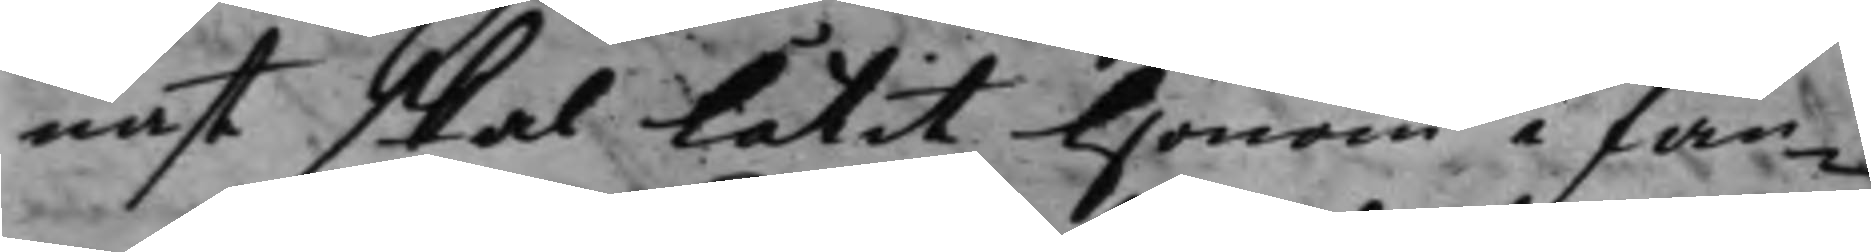nast skal Låtit Honom i fän¬
